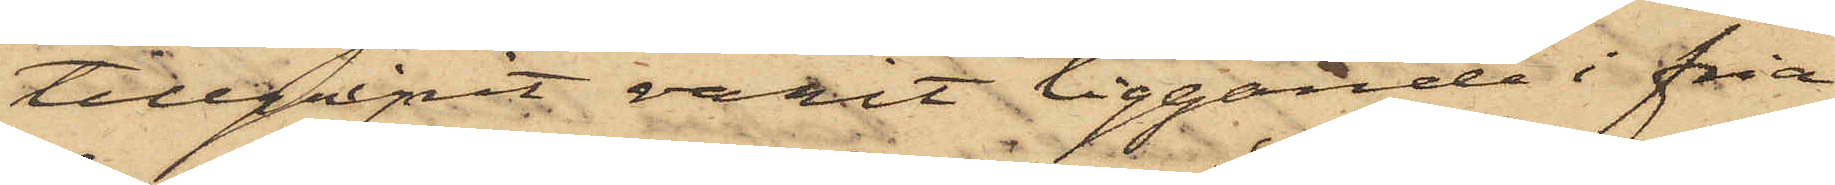tillgripit varit liggande i fria
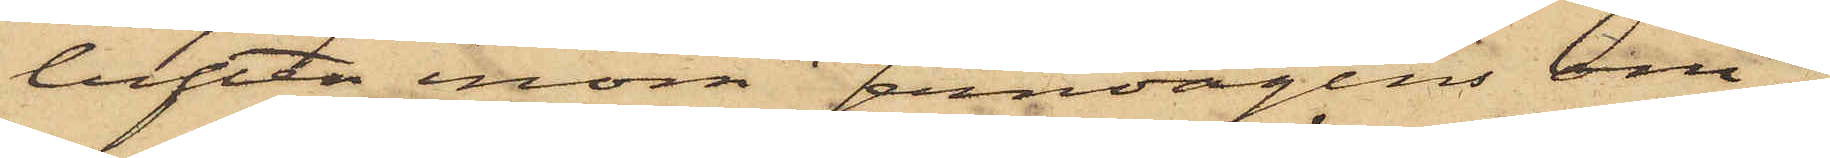luften inom Jernvågens om¬
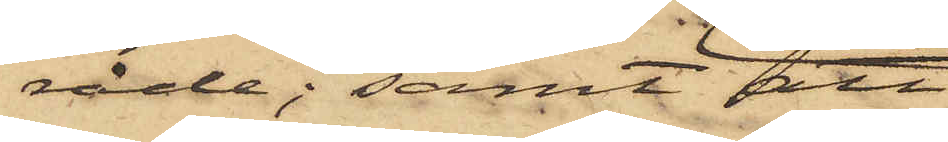råde; samt att
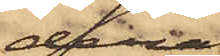deraf
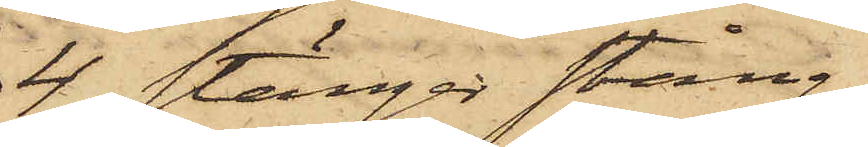4 stänger stång¬
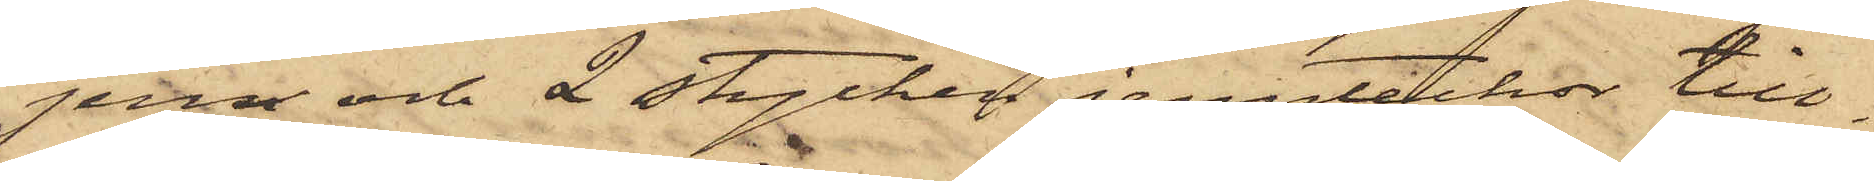jern och 2 stycken jerntackor till¬
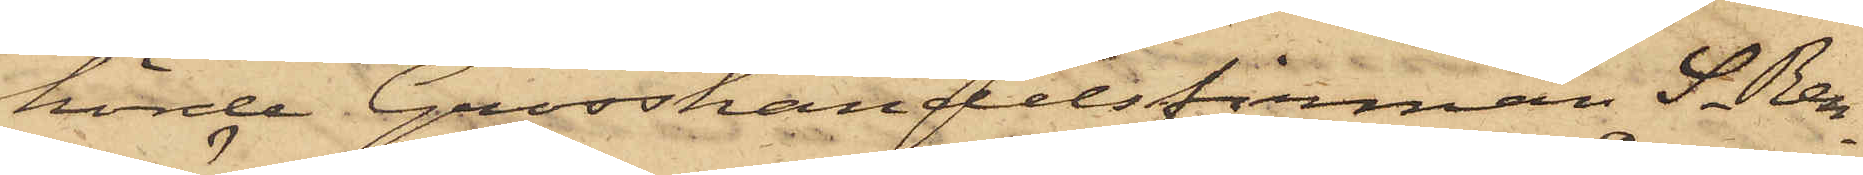hörde Grosshandelsfirman S. Ren¬
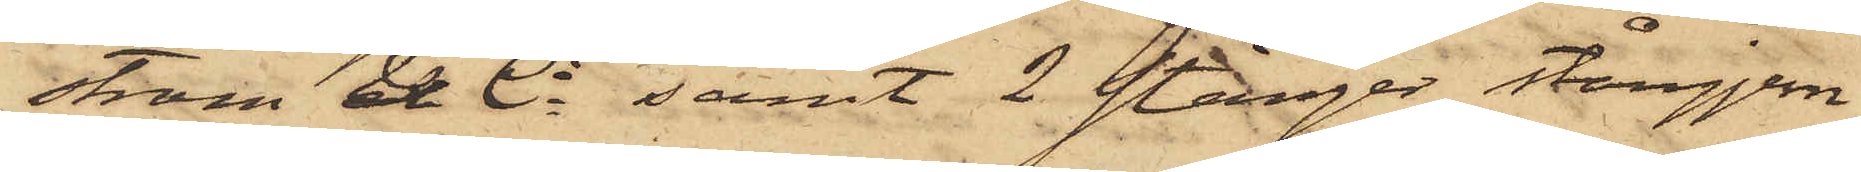ström & Ci samt 2 stänger stångjern
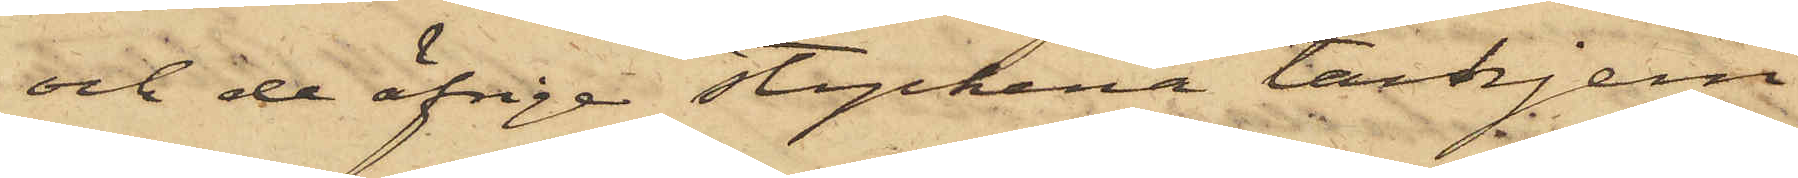och de öfriga styckena tackjern
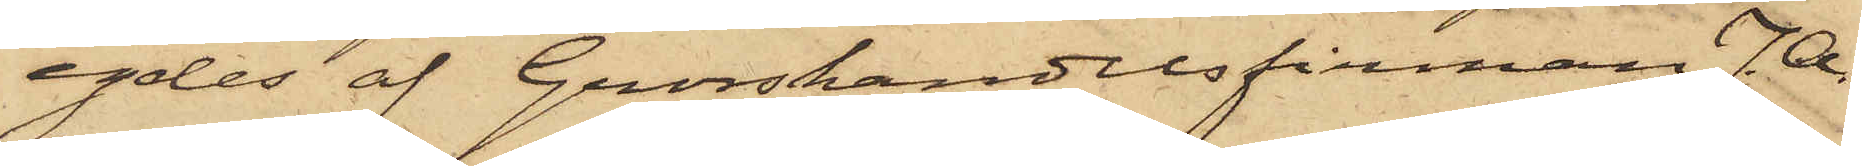egdes af Grosshandelsfirman J. A.
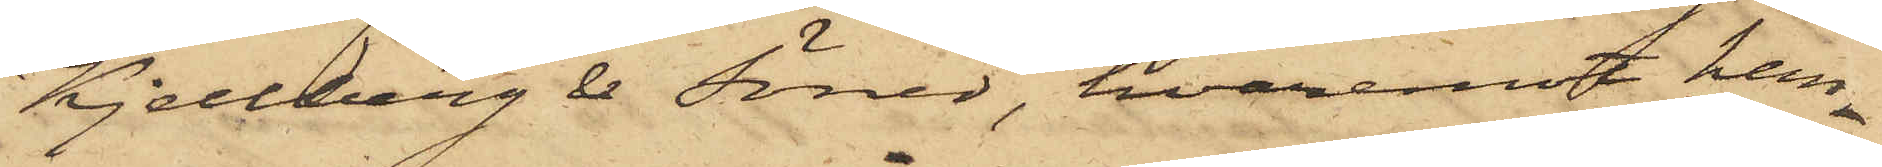Kjellberg & Söner, hvaremot han
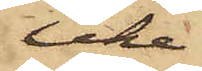icke
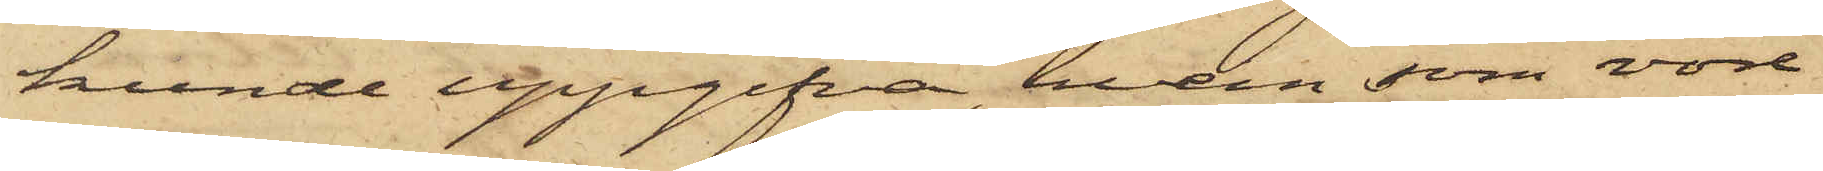kunde uppgifva, hvem som vore
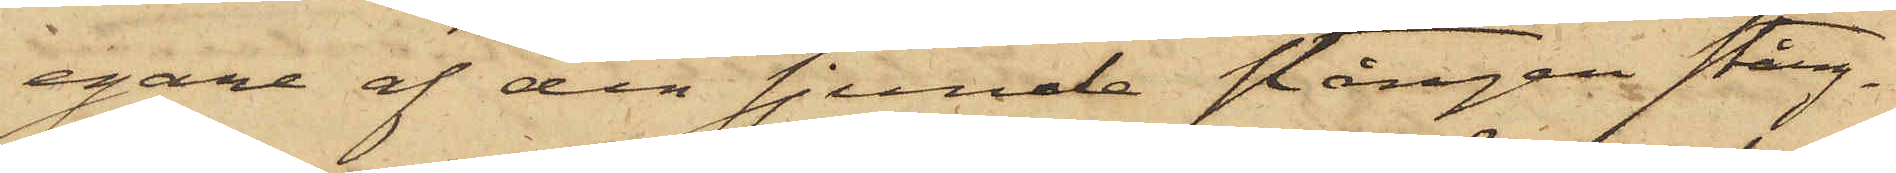egare af den sjunde stången stång¬
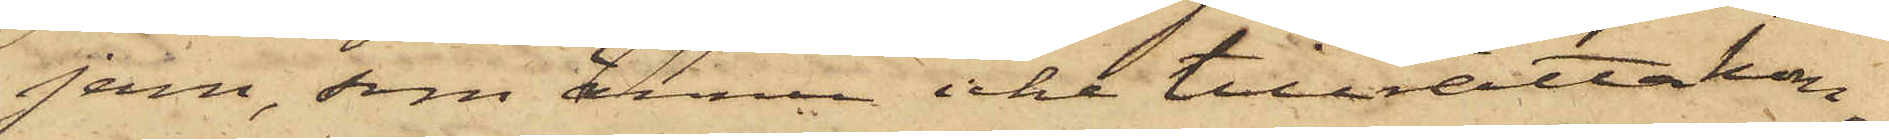jern, som ännu icke tillrättakon¬
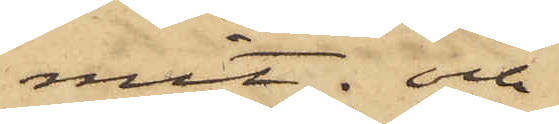mit; och
